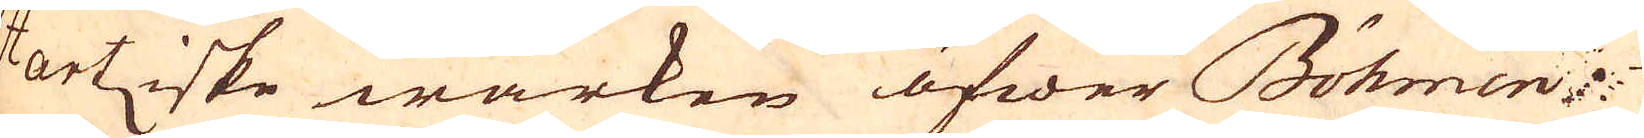Hartziske wärken öfwer Böhmen
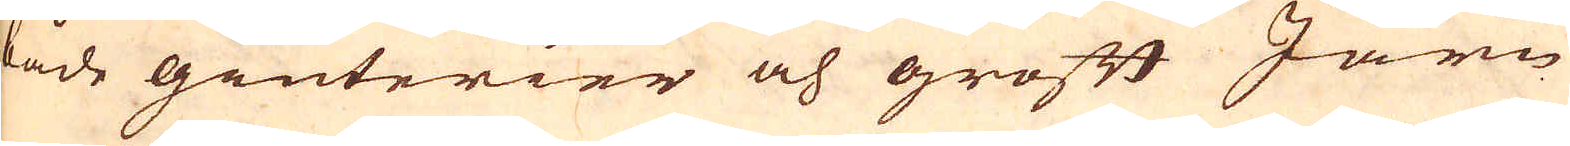både giuterier och groft Järn
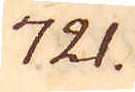721.
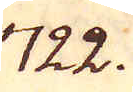722.
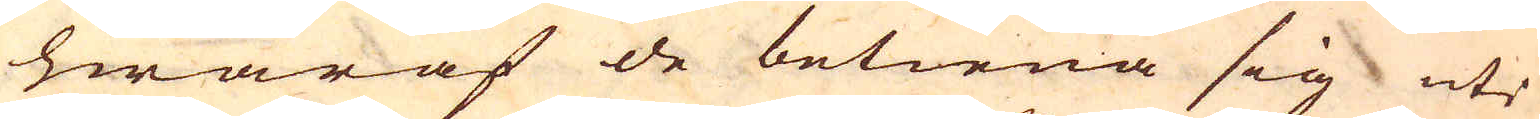hwaraf de betiena sig uti
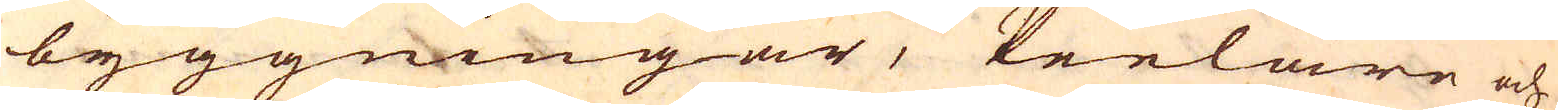byggningar, Peelare och
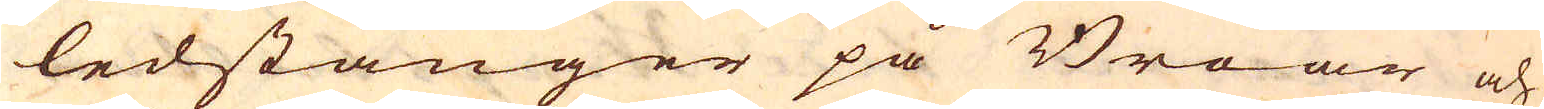ledstänger på Broar och
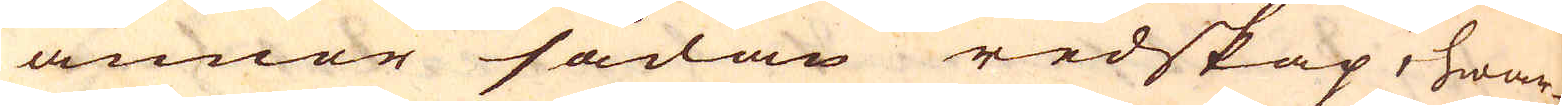annor sådan redskap, hwar-
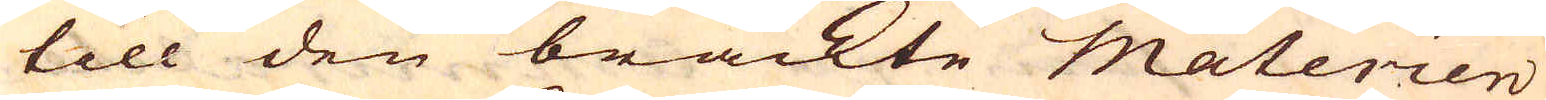till den bräckte Materien
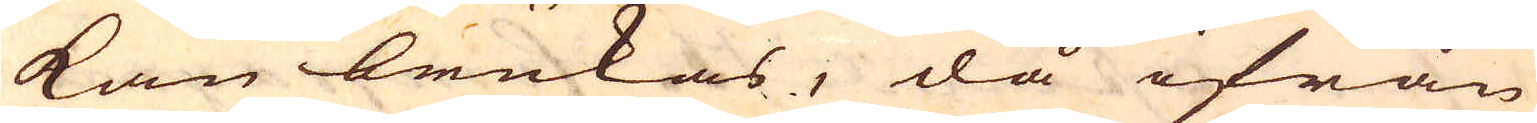kan brukas, då ifrån
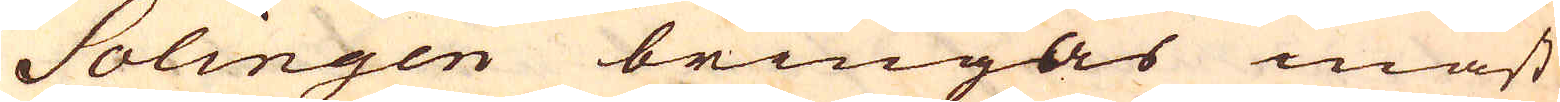Solingen bringas mäst
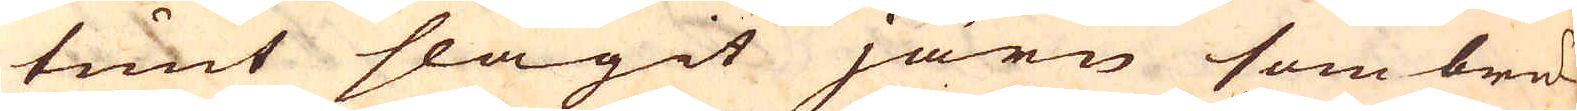tunt slagit järn som bru-
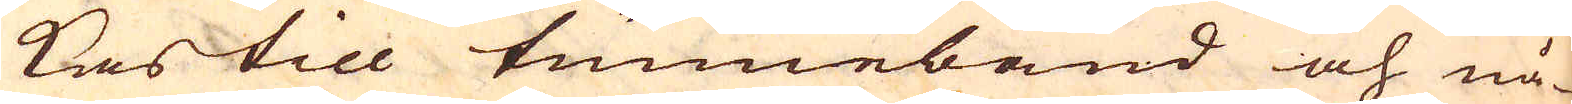kas till tunneband och nå-
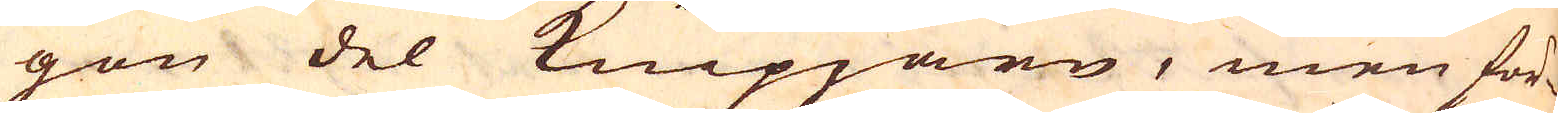gon del Knipjärn, men för-
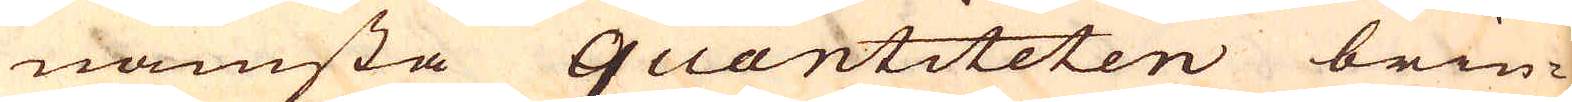nämsta quantiteten brin-
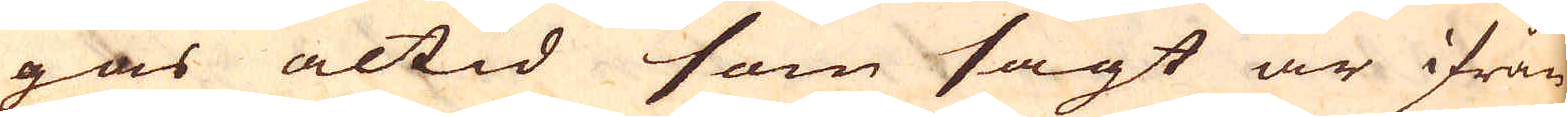gas altid som sagt är ifrån
